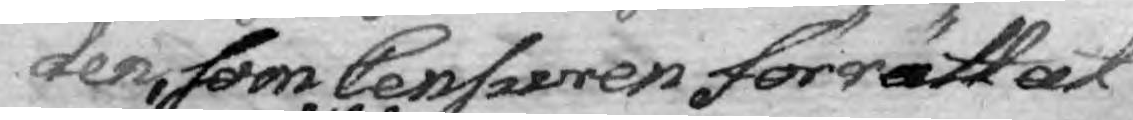den, som Censuren förrättat
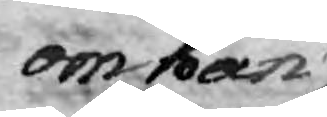om han
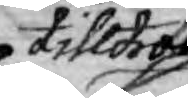tilltror
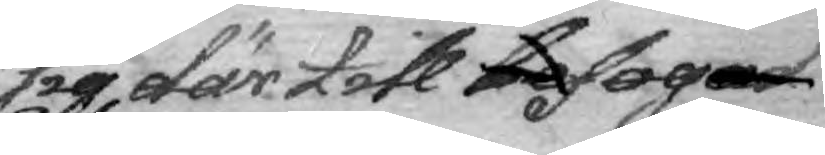sig där till befogad
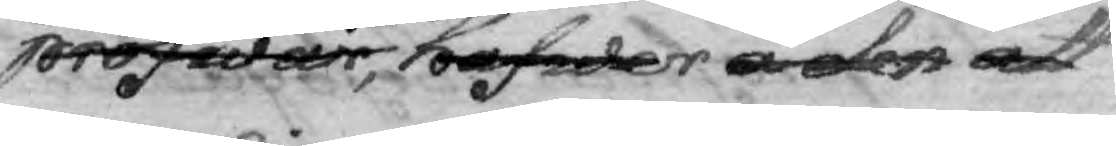pröfwar, hafwer å den att
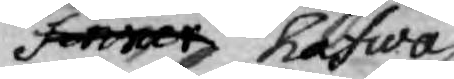finner hafwa
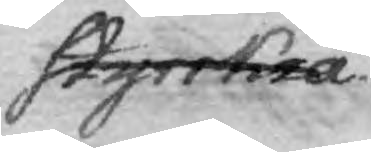styrkia.
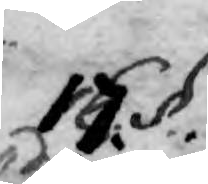17. §.
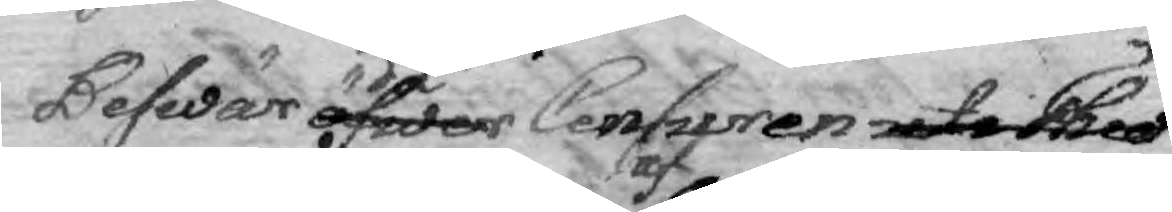Beswär öfwer å Censuren uti Theo¬
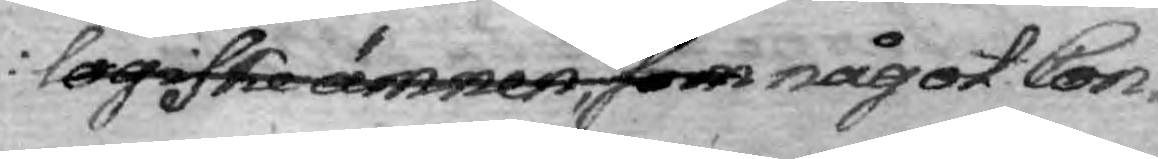logiske ämnen, som af något Con¬
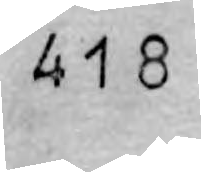418
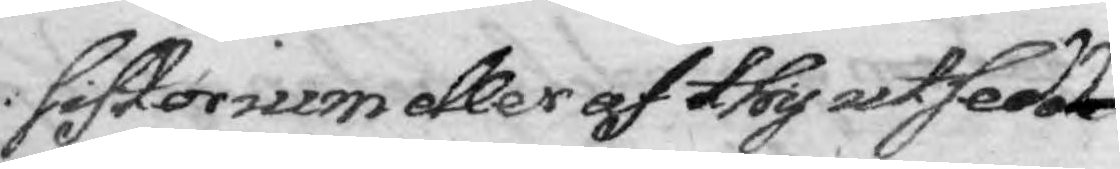sistorium eller af thy utsedde
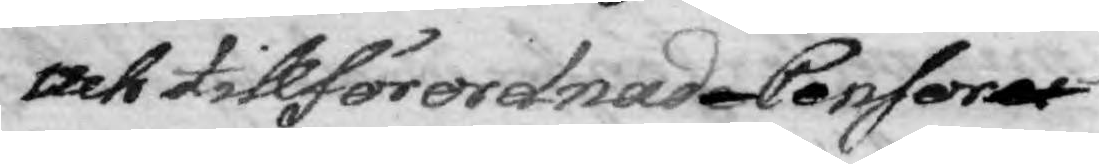och tillförordnade Consorer
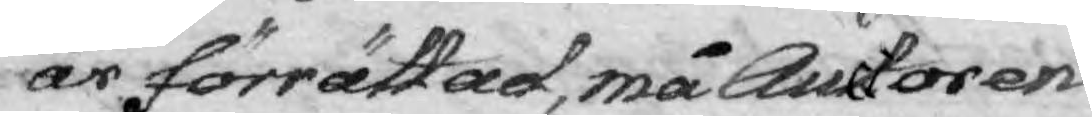är förrättad, må Auctoren
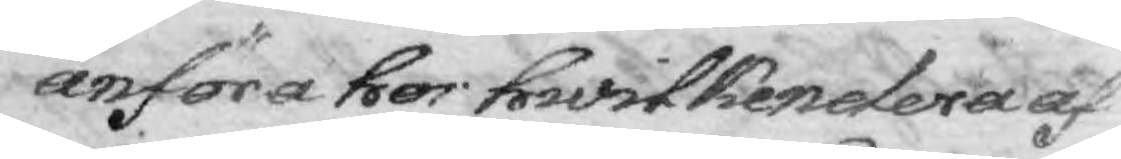anföra hos hwilkendera af
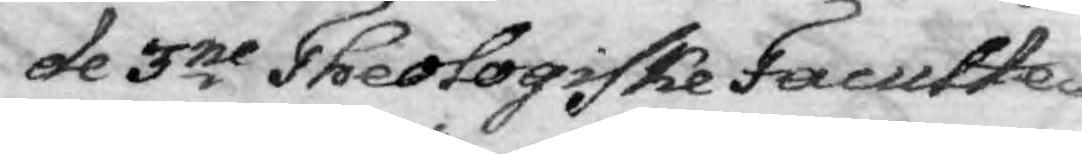de 3ne Theologiske Faculte¬
